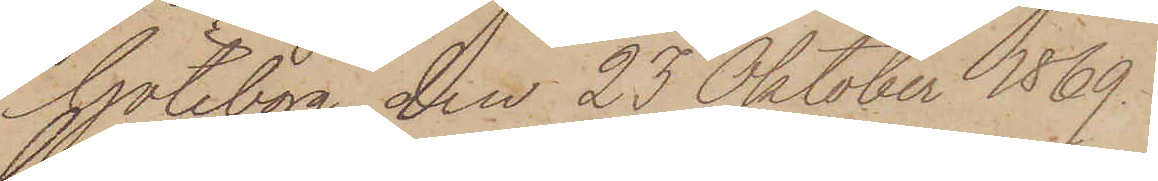Göteborg den 23 Oktober 1869.
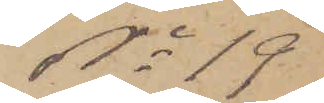No 19
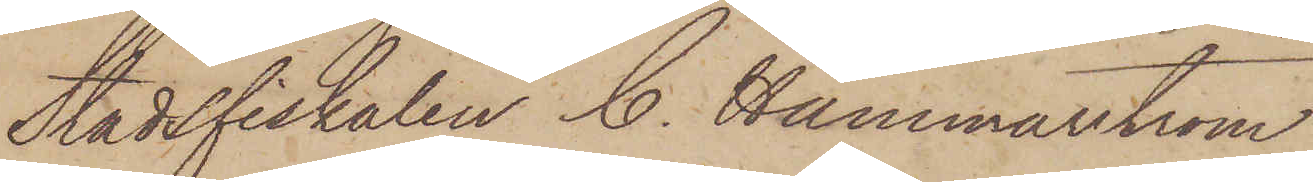Stadsfiskalen C. Hammarström
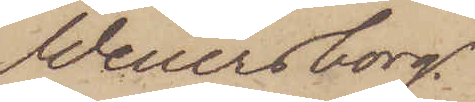Wenersborg.
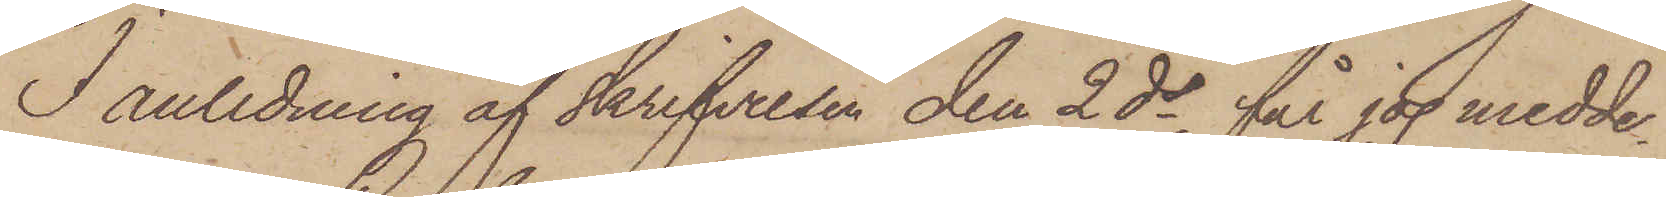I anledning af skrifvelsen den 2 ds, får jag medde¬
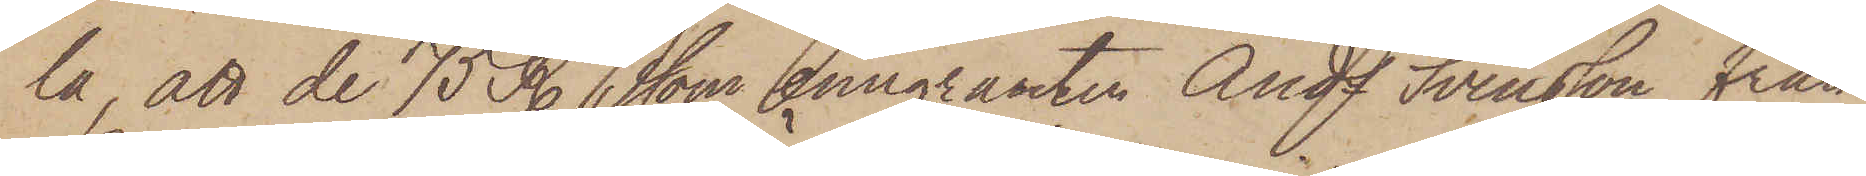la, att de 75 R. som emigranten Ands Svensson från
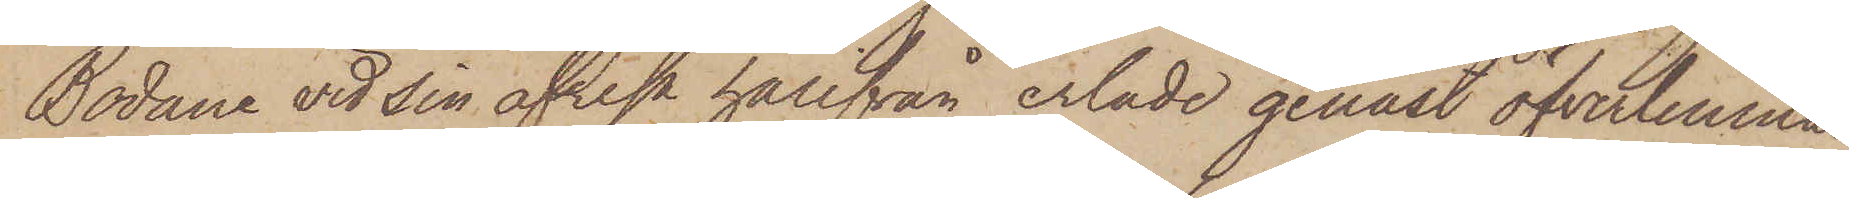Bodane vid sin afresa härifrån erlade genast öfverlemna¬
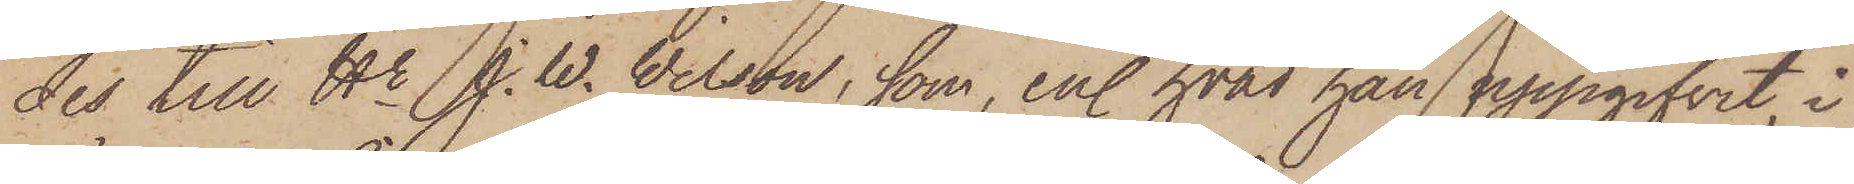des till Hr J. W. Wilson, som, enl. hvad han uppgifvit, i
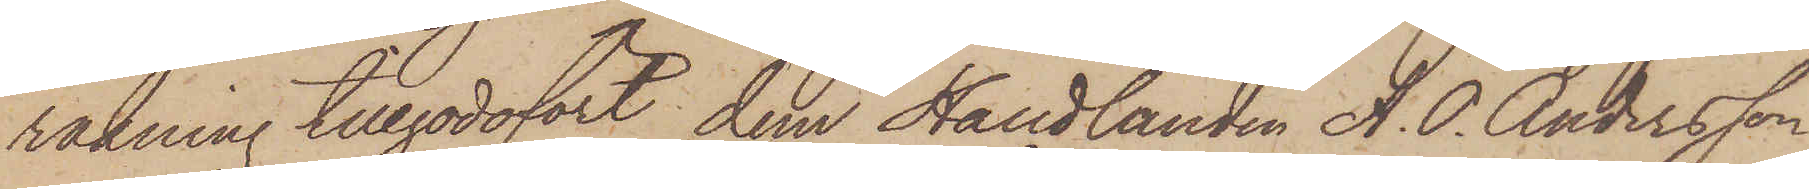räkning tillgodofört dem Handlanden A. P. Andersson
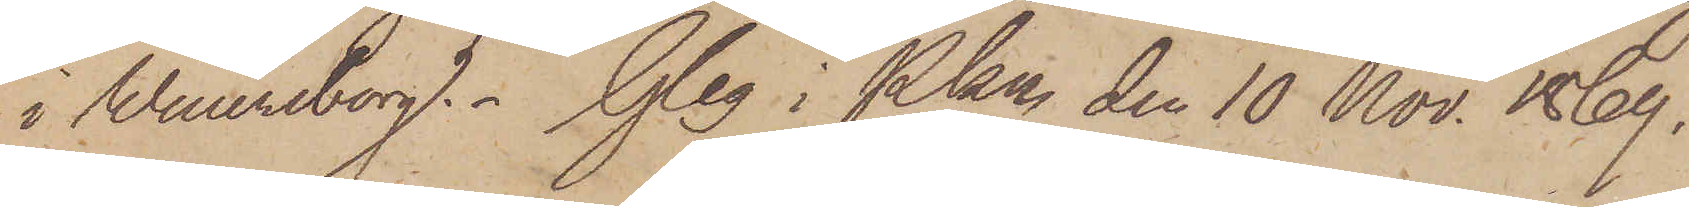i Wenersborg. Gbg i Pkn den 10 Nov. 1869.
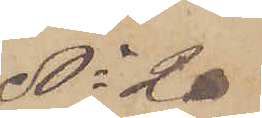No 20
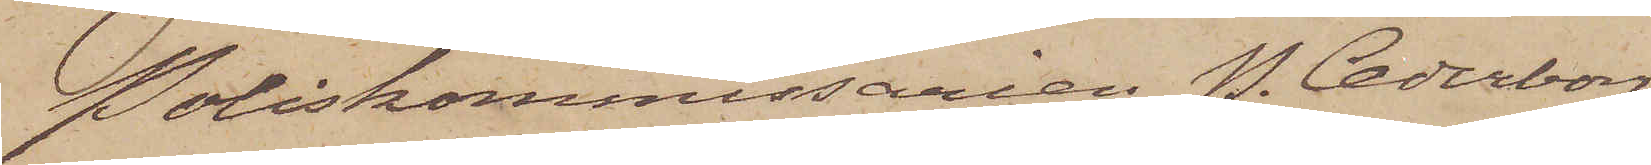Poliskommissarien P. Cederborg
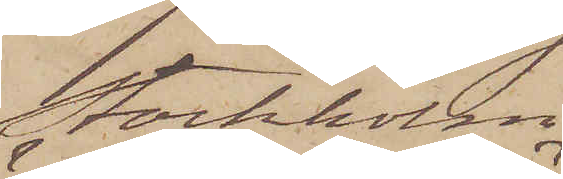Stockholm
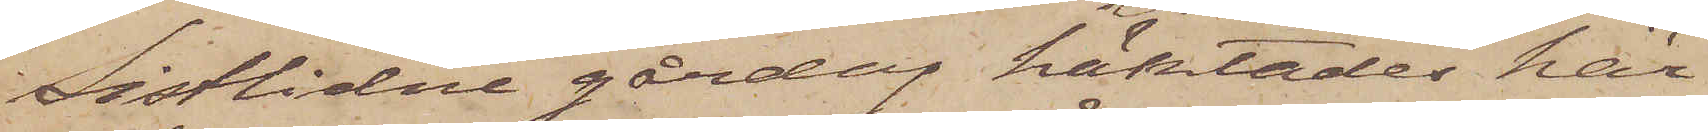Sistlidne gårdag häktades här¬
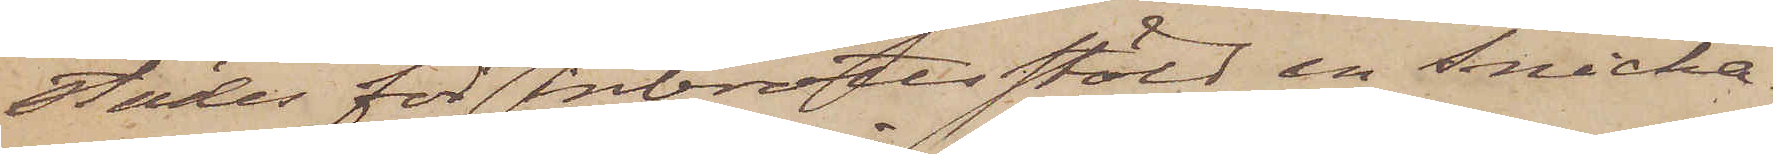städes för inbrottsstöld en snicka¬
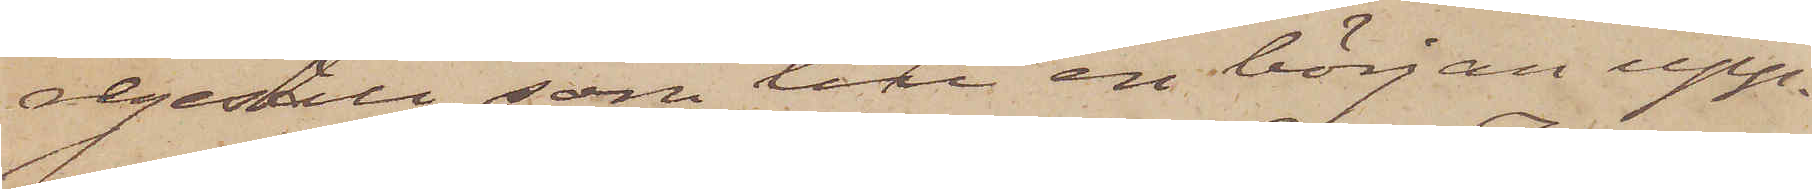regesäll, som till en början upp¬
